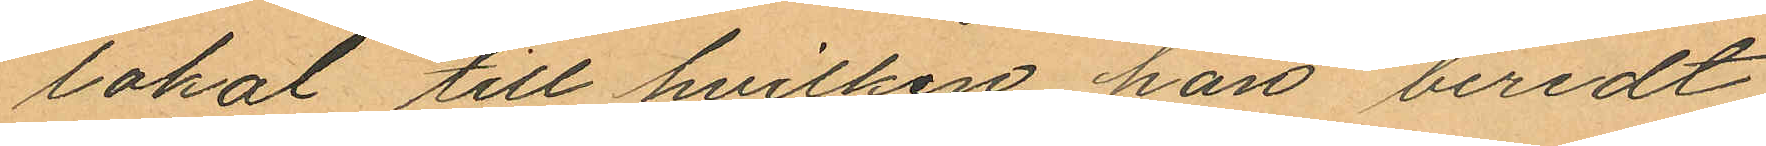lokal till hvilken han beredt
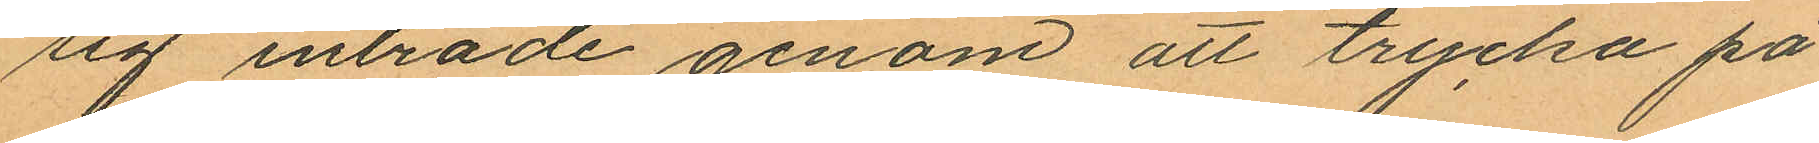sig inträde genom att trycka på
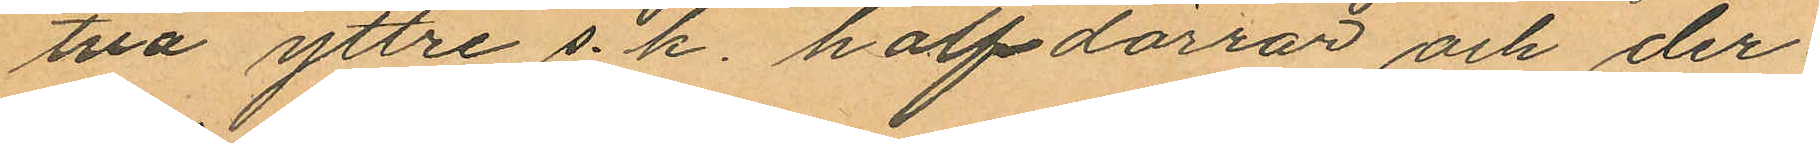två yttre s. k. halfdörrar och der¬
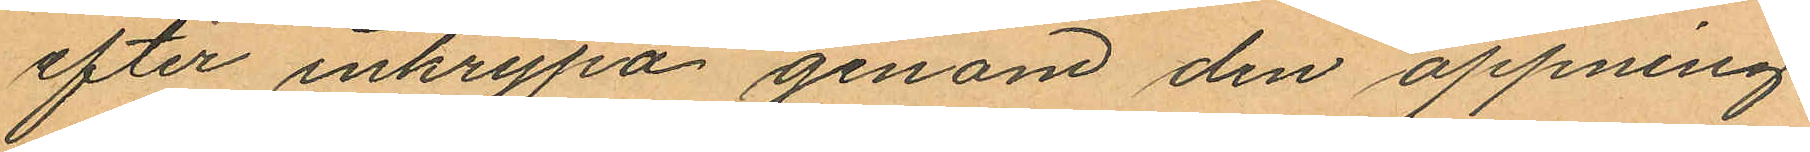efter inkrypa genom den öppning
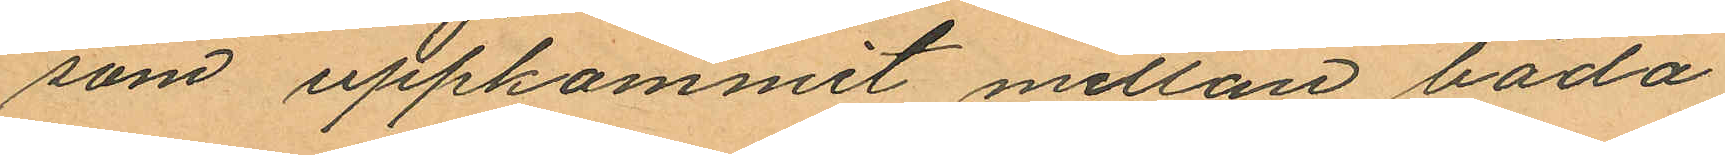som uppkommit mellan båda
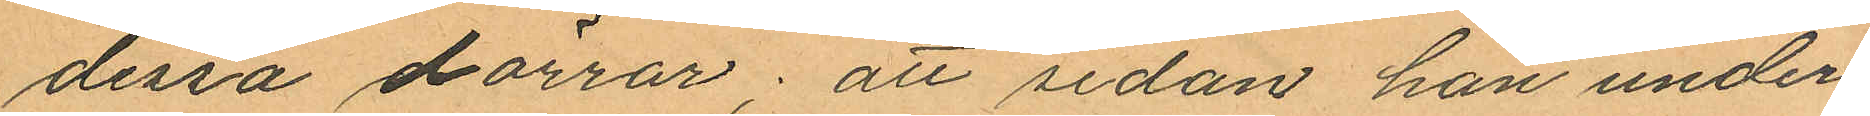dessa dörrar; att sedan han under¬
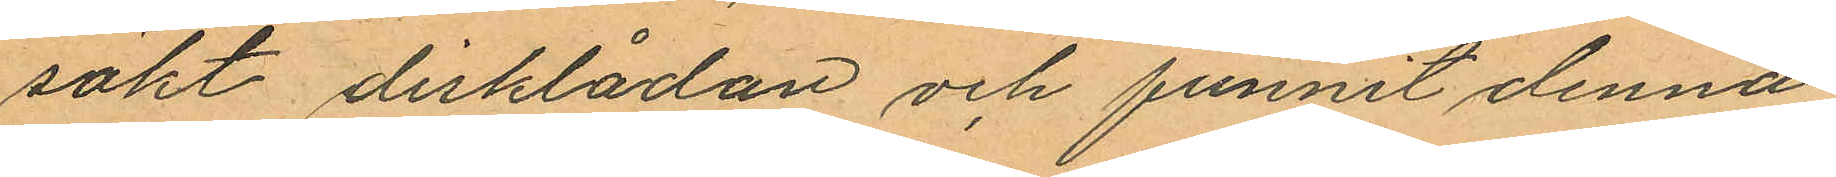sökt disklådan och funnit denna
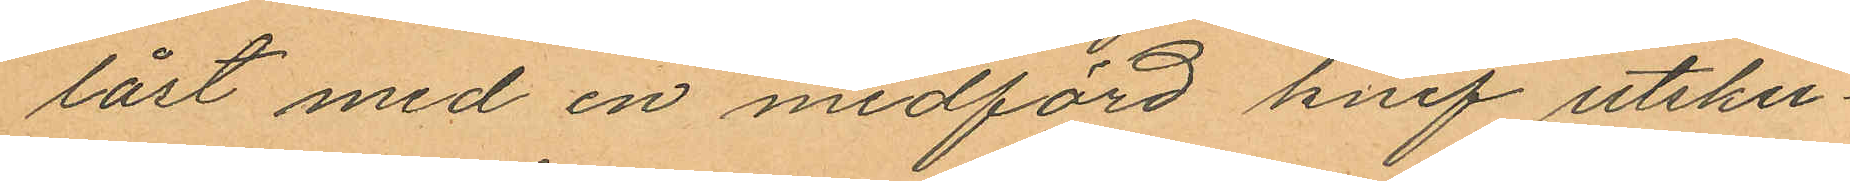låst med en medförd knif utsku¬
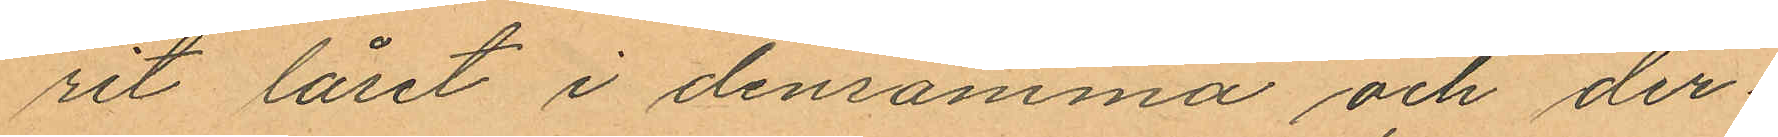rit låset i densamma och der
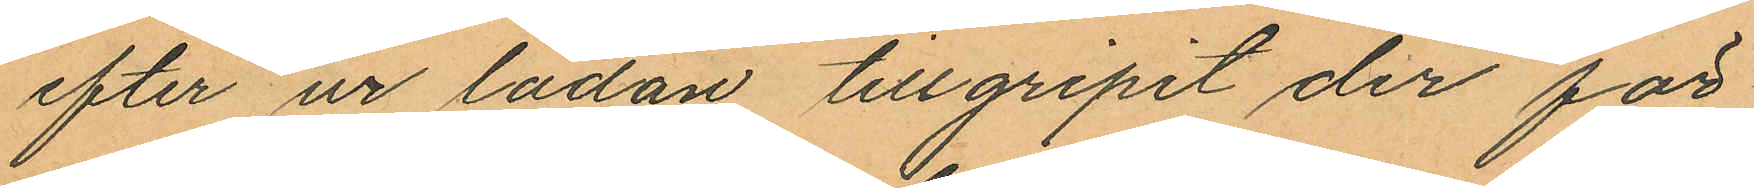efter ur lådan tillgripit der för¬
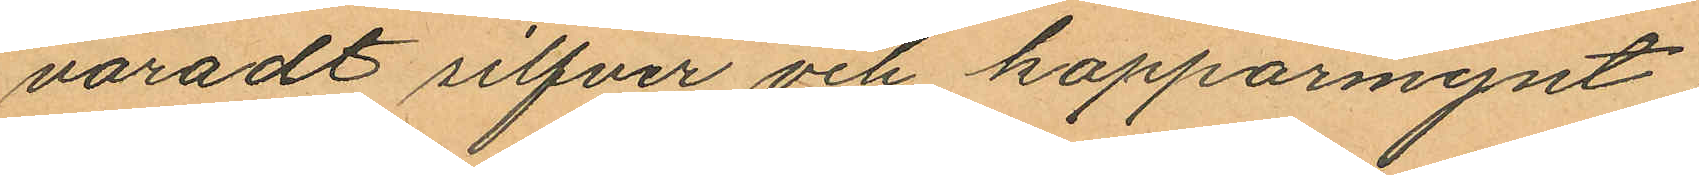varadt silfver och kopparmynt;
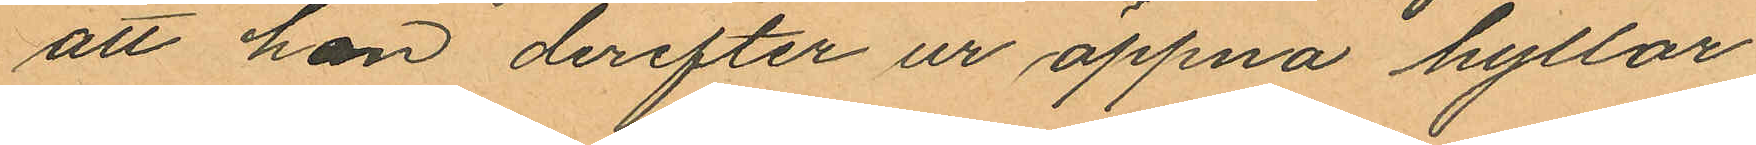att han derefter ur öppna hyllor
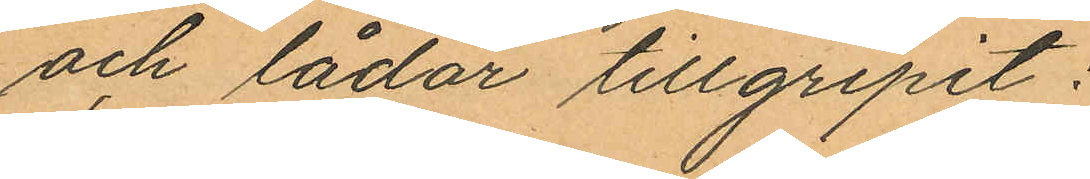och lådor tillgripit:
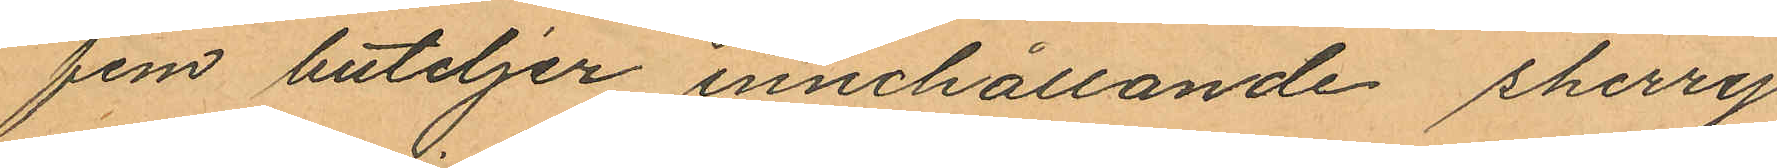fem buteljer innehållande sherry
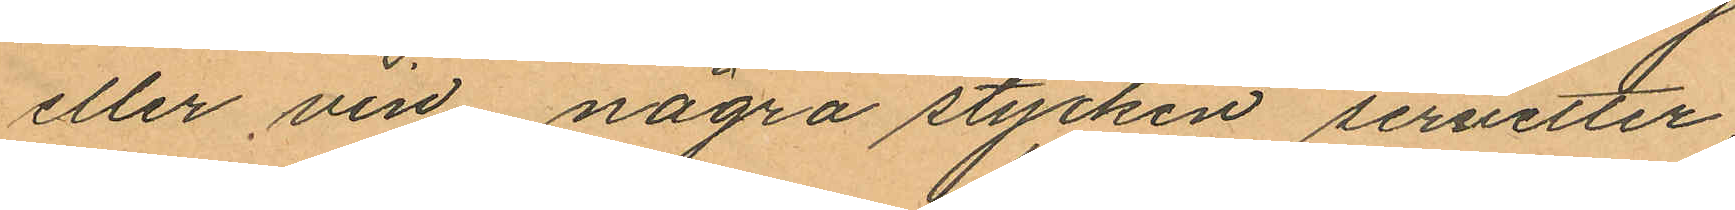eller vin några stycken servetter,
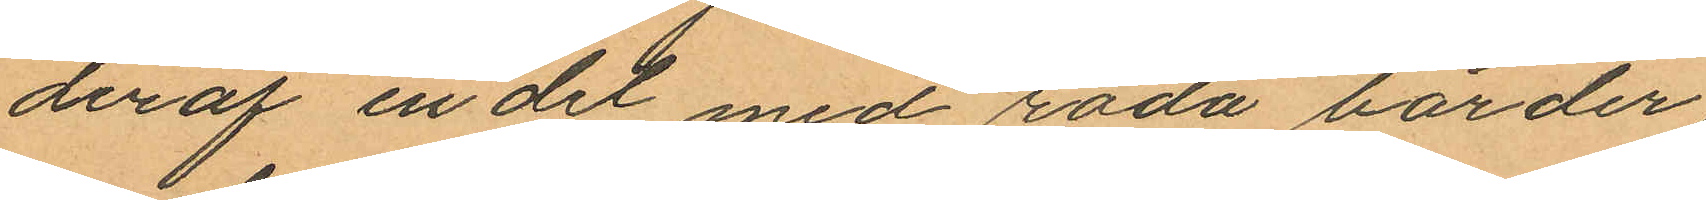deraf en del med röda bårder,
